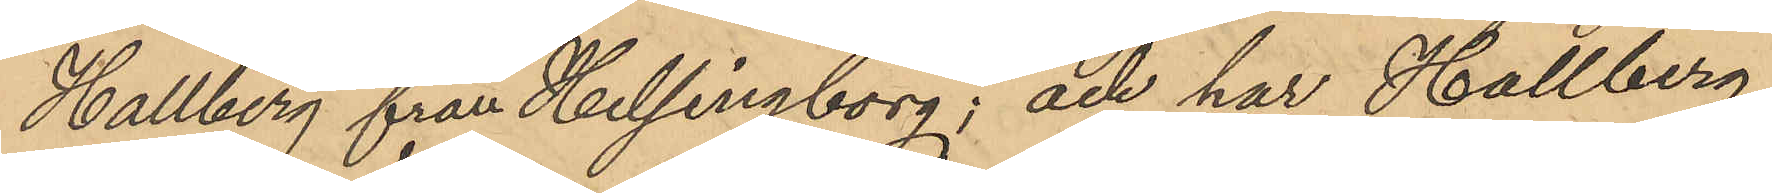Hallberg från Helsingborg; och har Hallberg
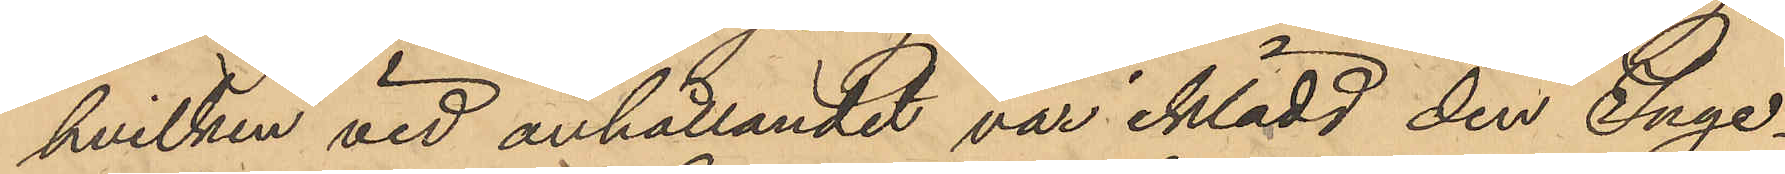hvilken vid anhållandet var iklädd den Inge¬
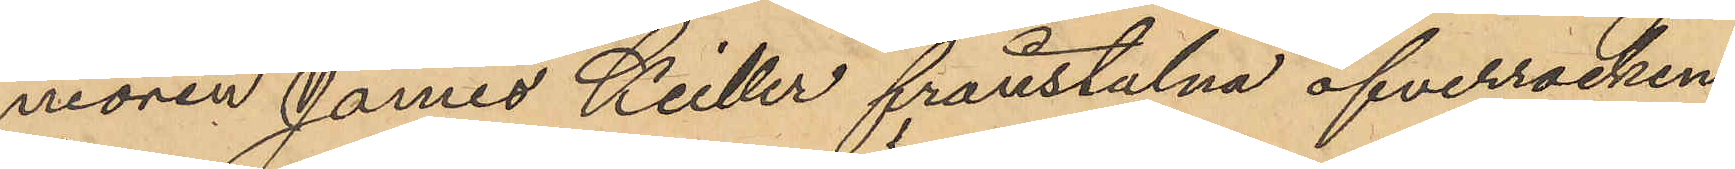niören James Keiller frånstulna öfverrocken,
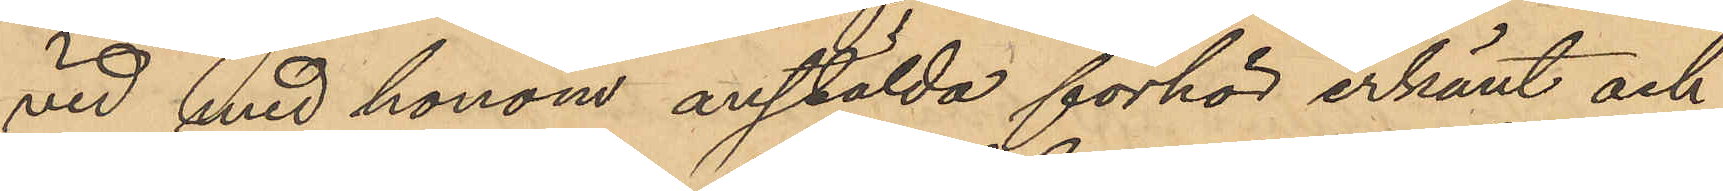vid med honom anstälda förhör erkänt och
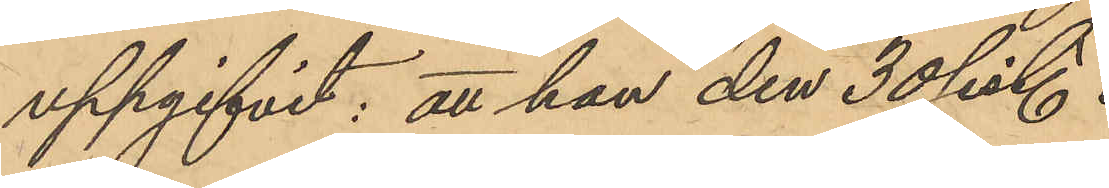uppgifvit; att han den 30 sist.
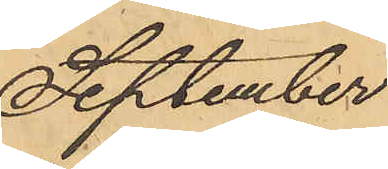September
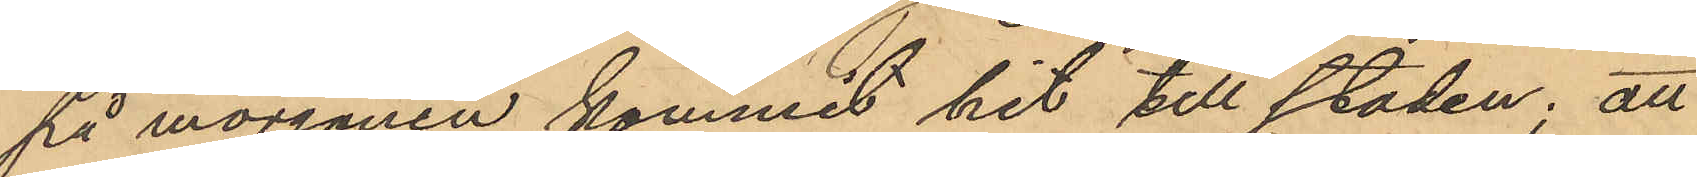på morgonen kommit hit till staden; att
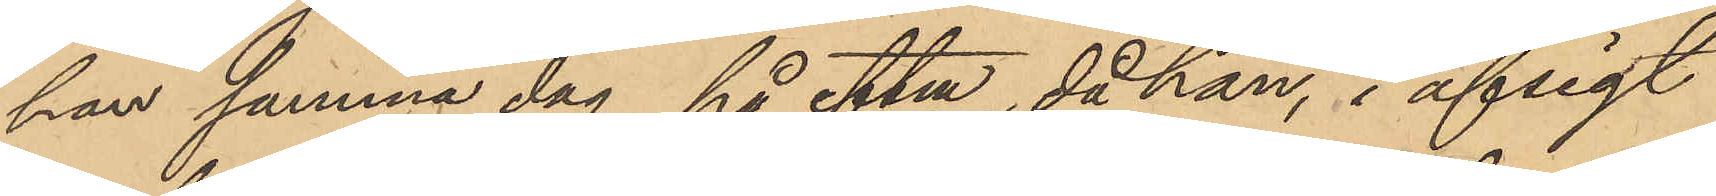han samma dag på eftm, då han, i afsigt
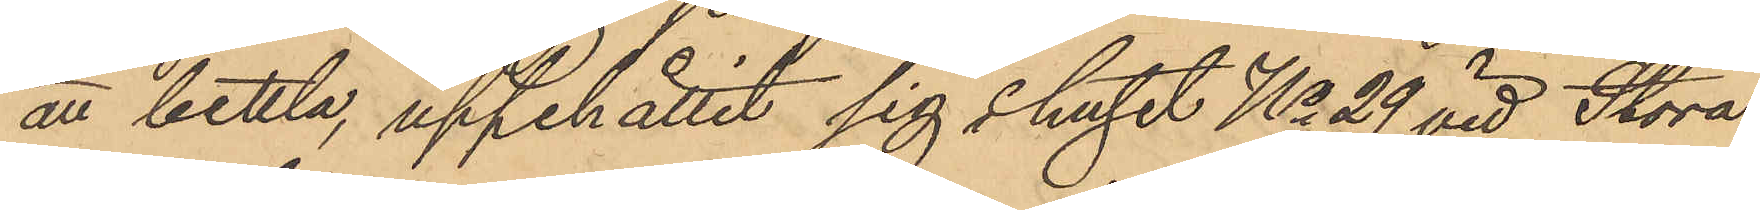att bettla, uppehållit sig i huset No 29 vid Stora
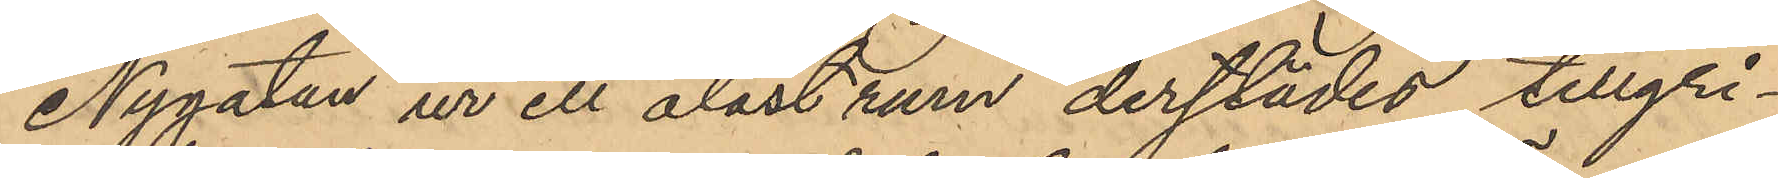Nygatan ur ett olåst rum derstädes tillgri¬
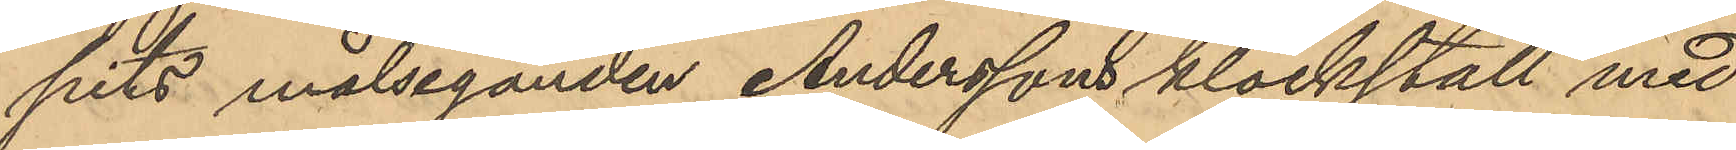pits målseganden Anderssons klockställ med
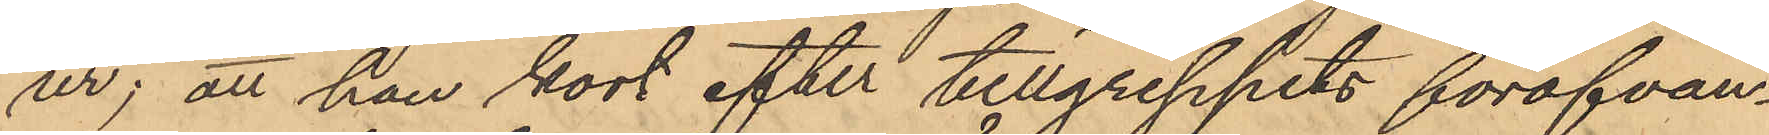ur; att han kort efter tillgreppets föröfvan¬
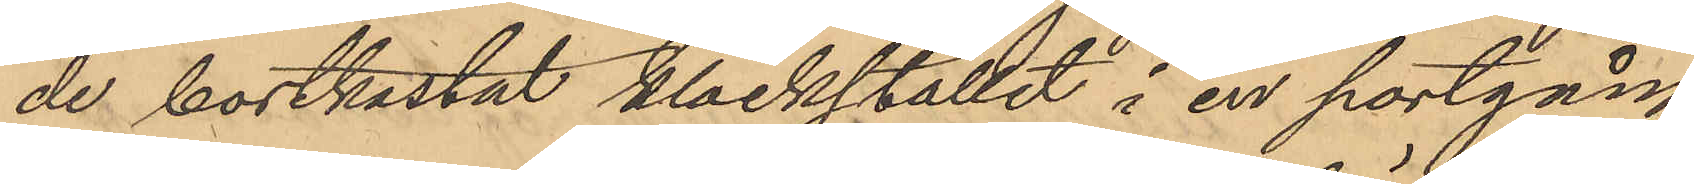de bortkastat klockstället i en portgång
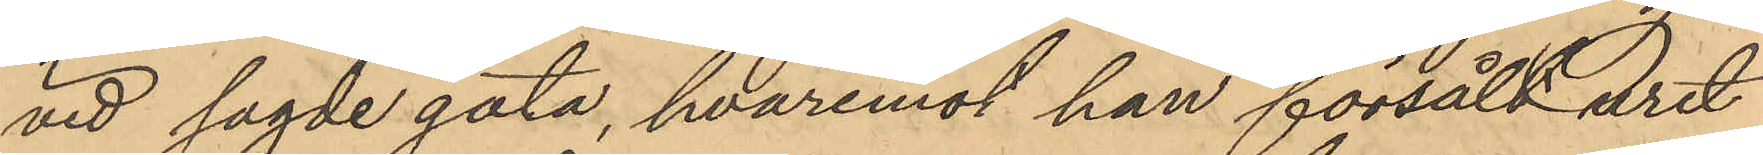vid sagde gata, hvaremot han försålt uret
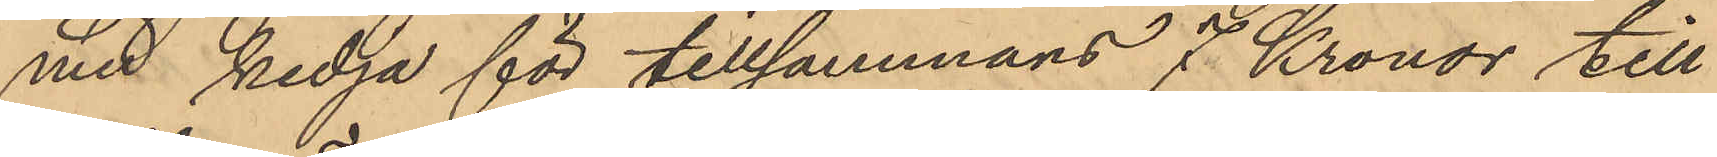med kedja för tillsammans 7 Kronor till
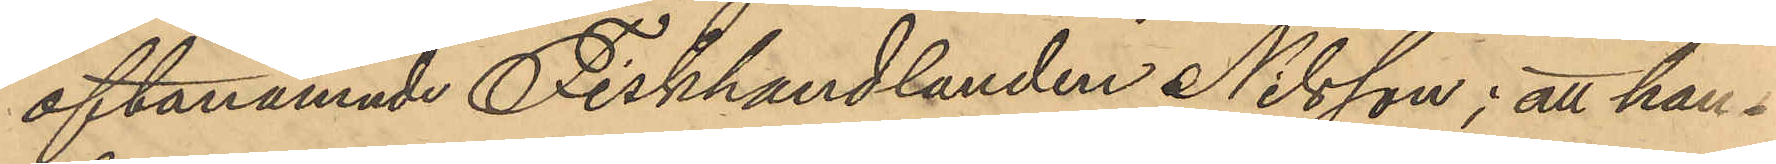oftanämnde Fiskhandlanden Nilsson; att han 
